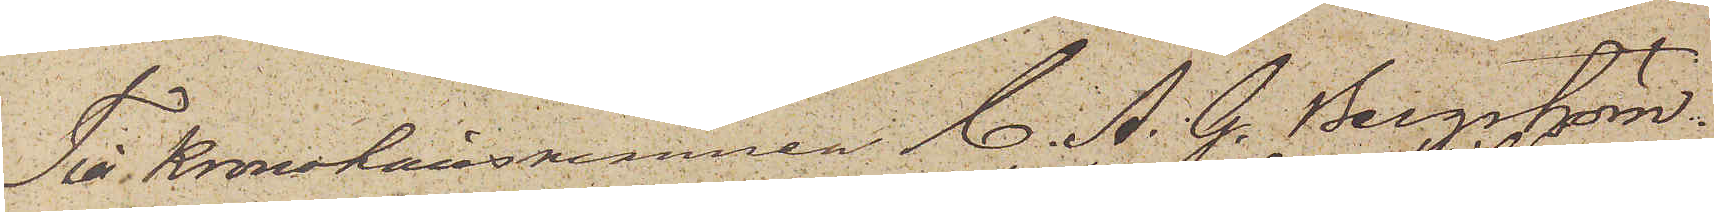Till Kronolänsmannen C. A. G. Bergström.
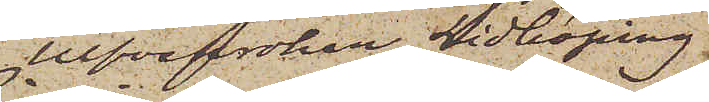Ulfvekroken Lidköping
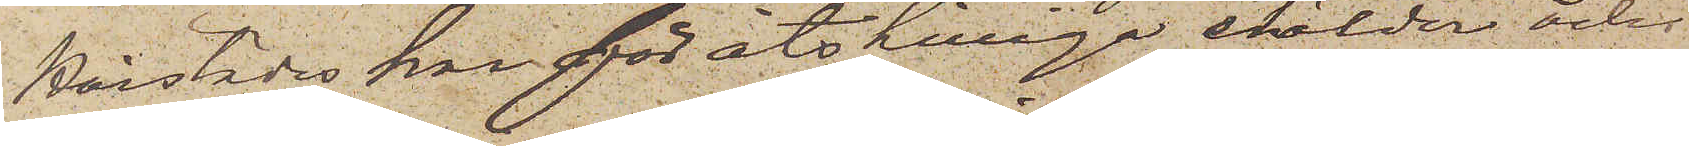Härstädes har för åtskilliga stölder och
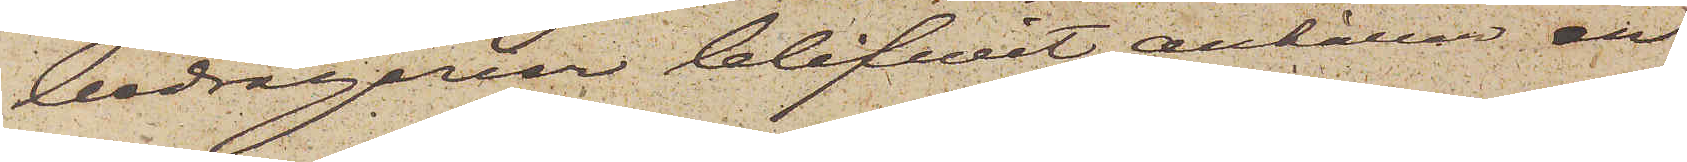bedrägerier blifvit anhållen en
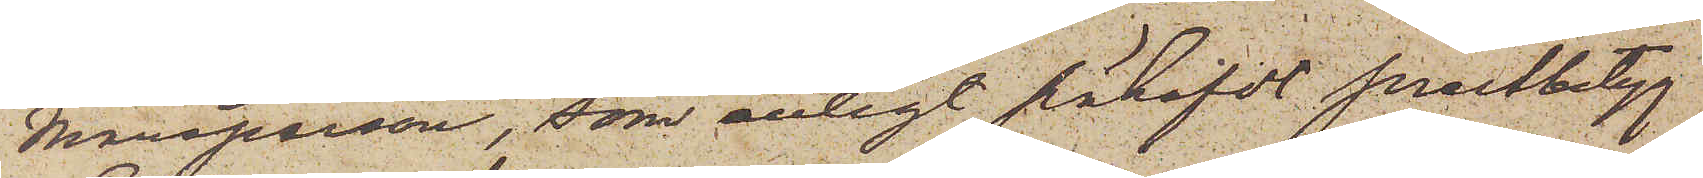Mansperson, som enligt påhafde prestbetyg
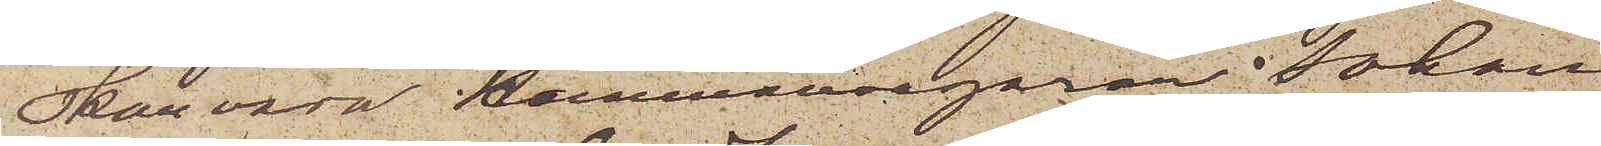skall vara Hemmansegaren Johan
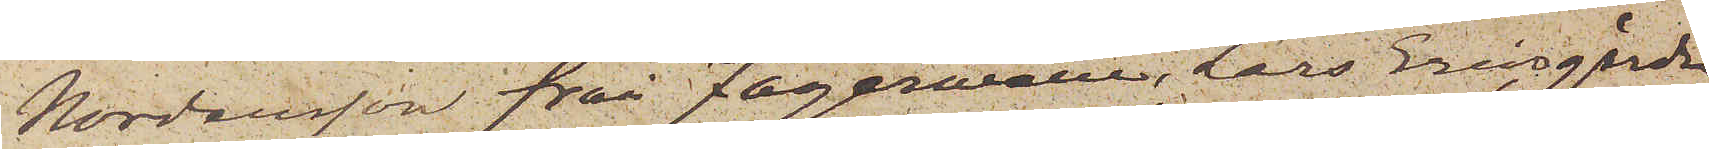Nordensson från Fagerwälle, Lars Ericsgården
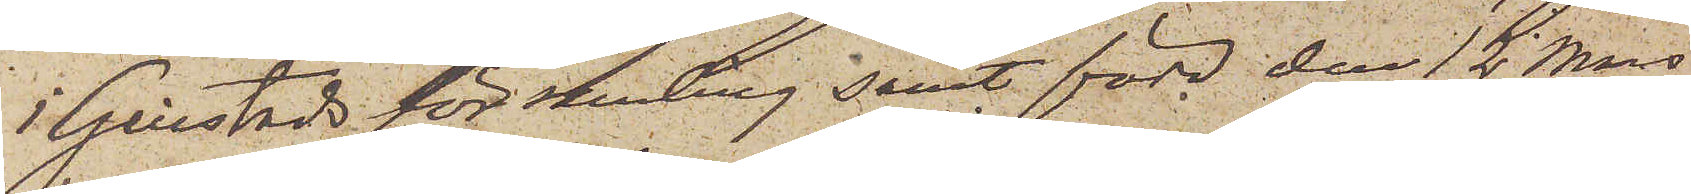i Gillstads församling samt född den 12 Mars
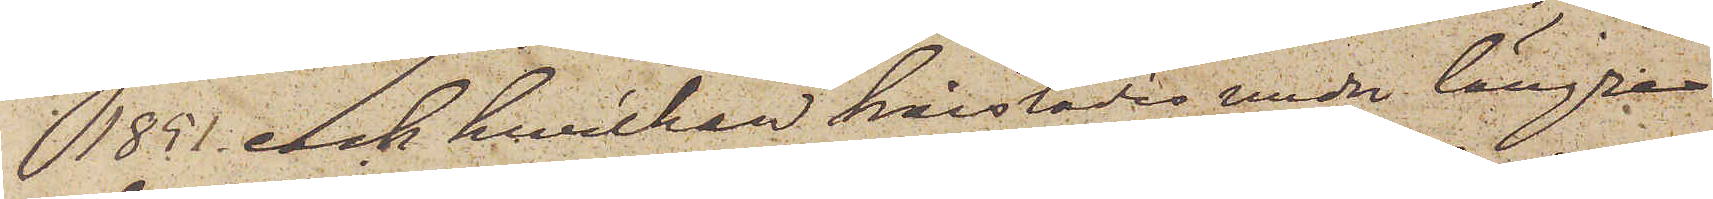1851 och hvilken härstädes under längre
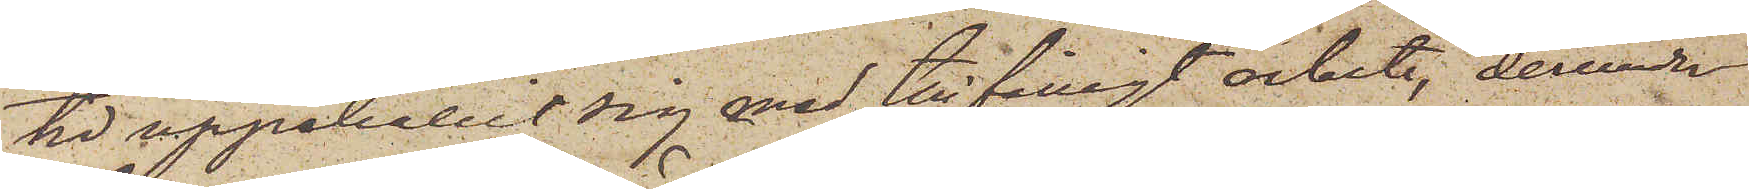tid uppehållit sig med tillfälligt arbete, derunder
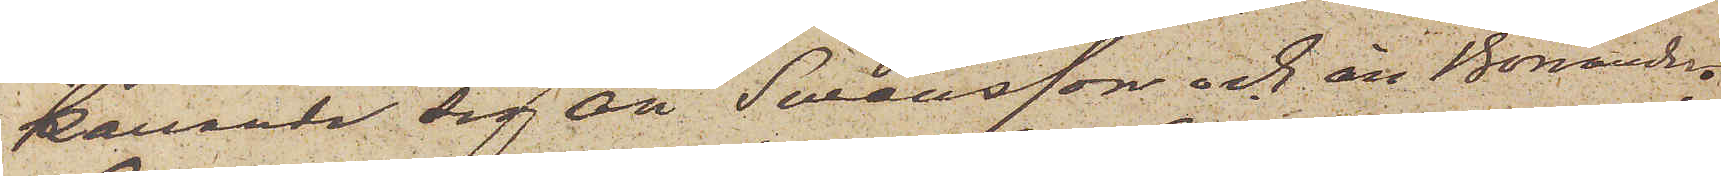kallande sig än Swensson och än Bonander.
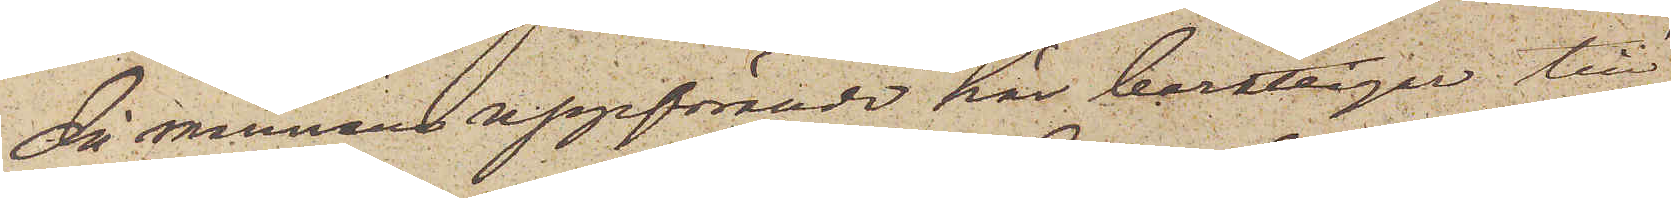då mannens uppförande här berättigar till
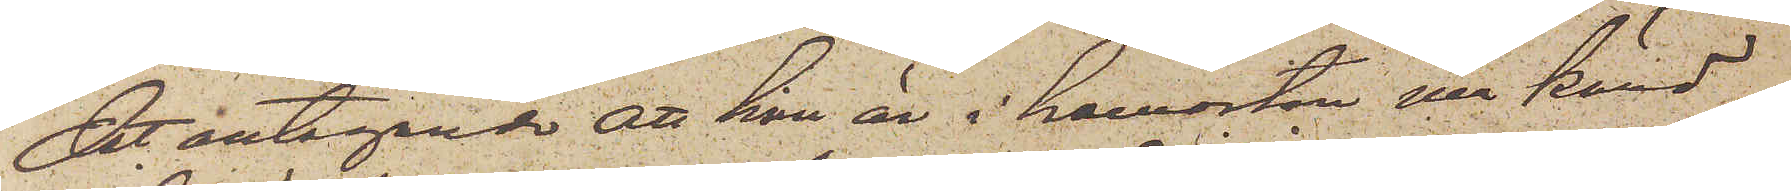det antagande att han är i hemorten illa känd
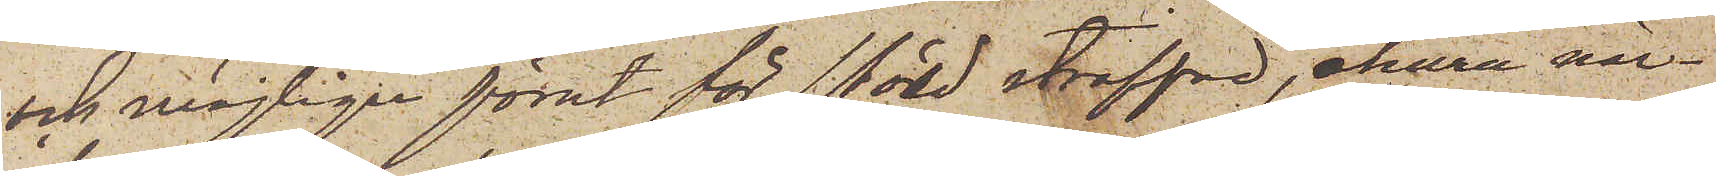och möjligen förut för stöld straffad, ehuru när¬
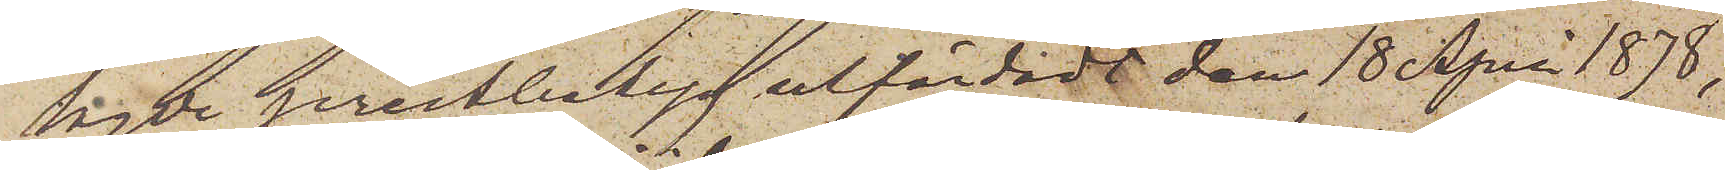lagde prestbetyg utfärdadt den 18 April 1878,
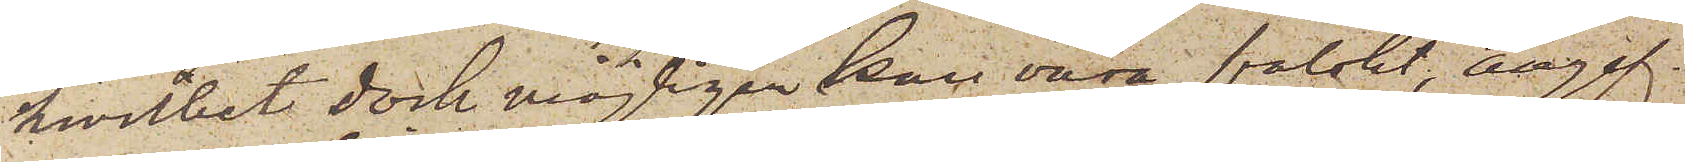hvilket dock möjligen han vara falskt, angif¬
